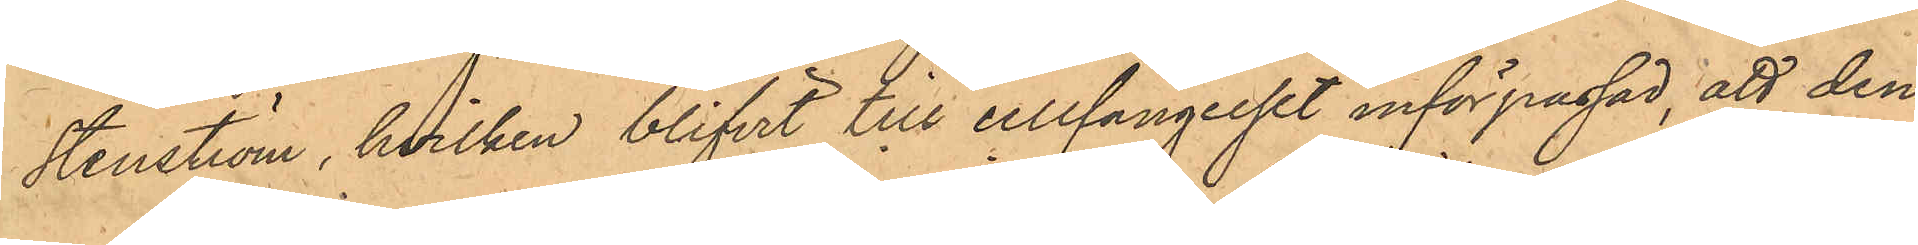Stenström, hvilken blifvit till cellfängelset införpassad, att den¬
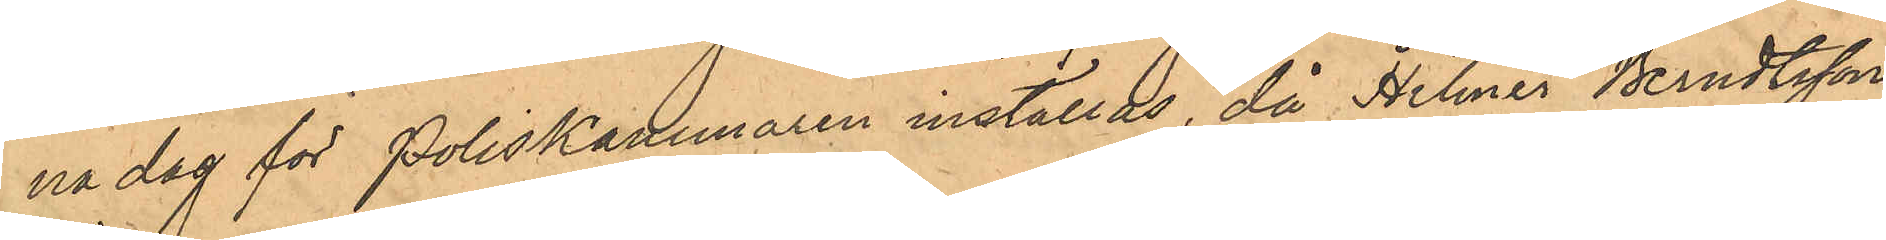na dag för Poliskammaren inställas, då Helmer Berndtsson
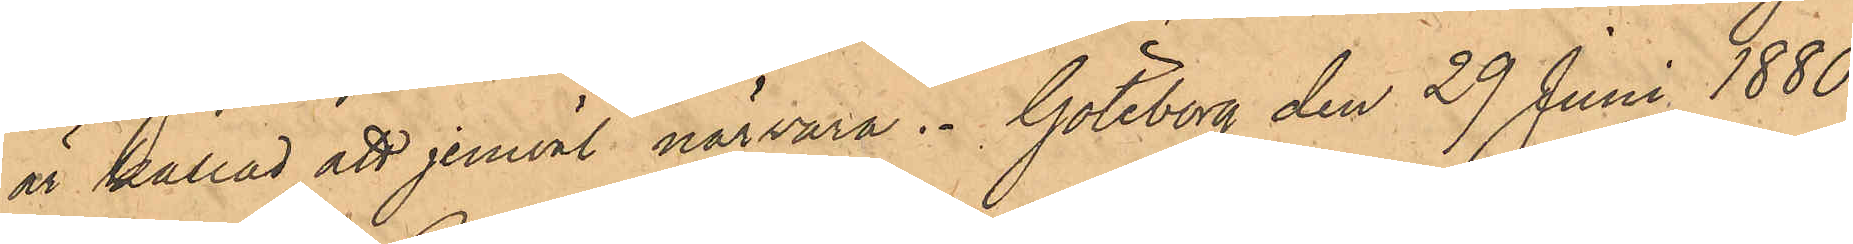är kallad att jemväl närvara. Göteborg den 29 Juni 1880.
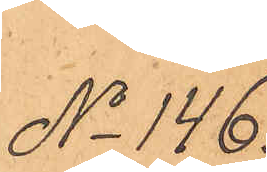No 146.
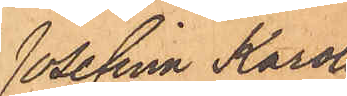Josefina Karoli¬
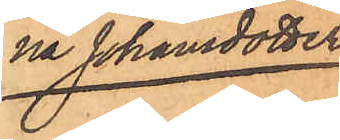na Johansdotter.
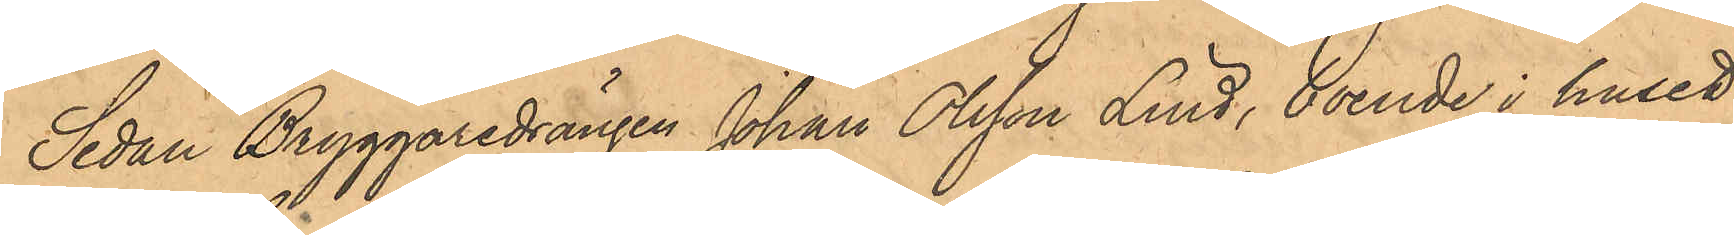Sedan Bryggaredrängen Johan Olsson Lind, boende i huset
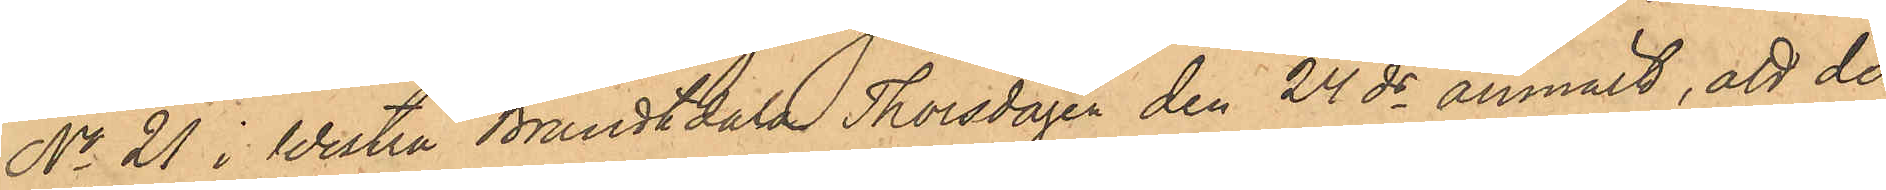No 21 i Westra Brandtdala Thorsdagen den 24 ds anmält, att der¬
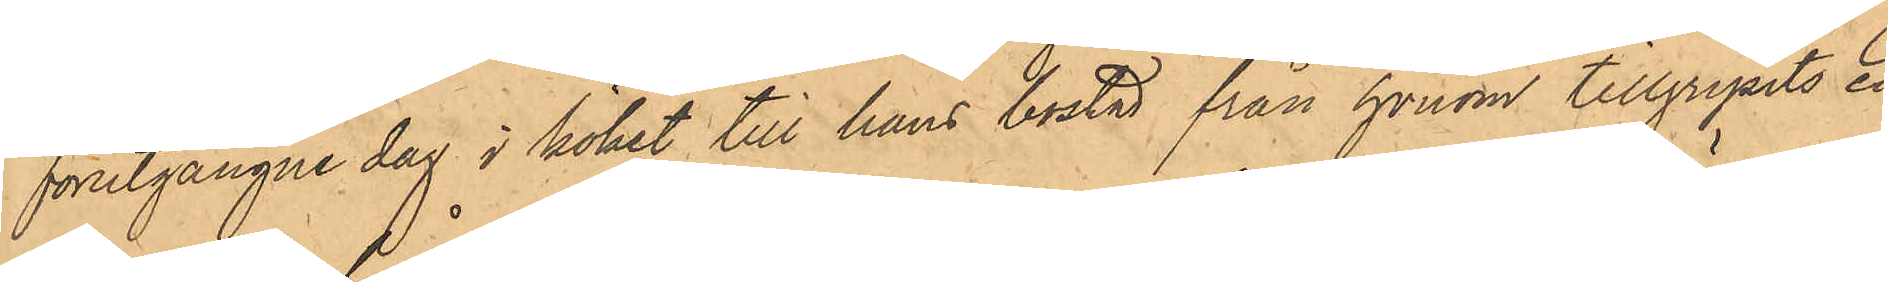förutgångne dag i köket till hans bostad från honom tillgripits en
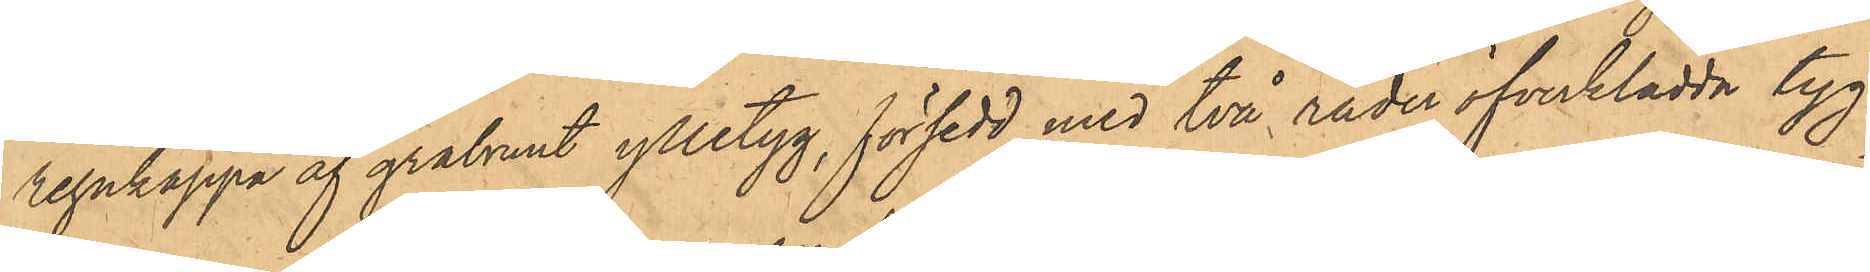regnkappa af gråbrunt ylletyg, försedd med två rader öfverklädda tyg¬
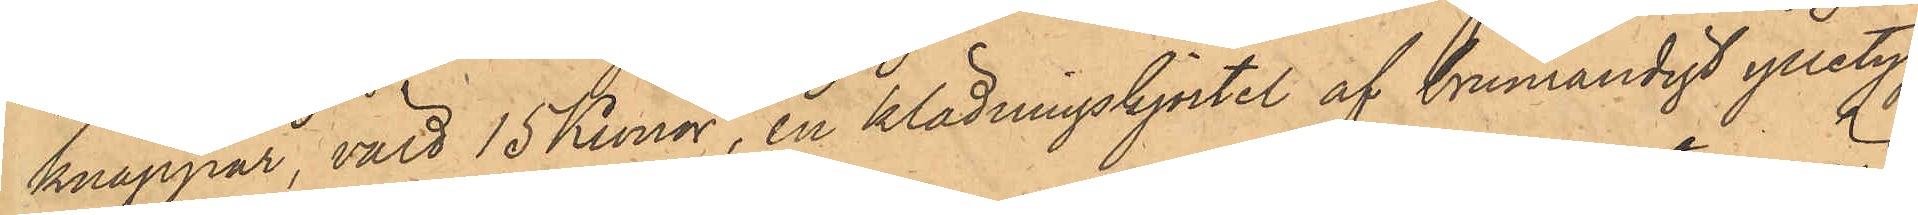knappar, värd 15 Kronor, en klädningskjortel af brunrandigt ylletyg,
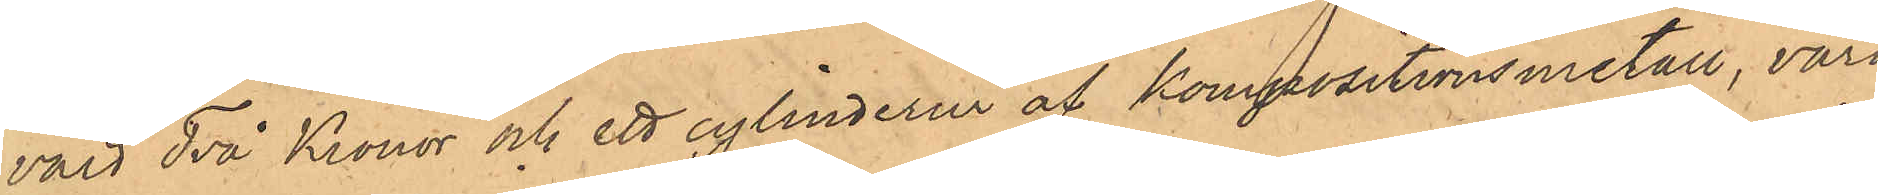värd Två Kronor och ett cylinderur af Kompositionsmetall, värd
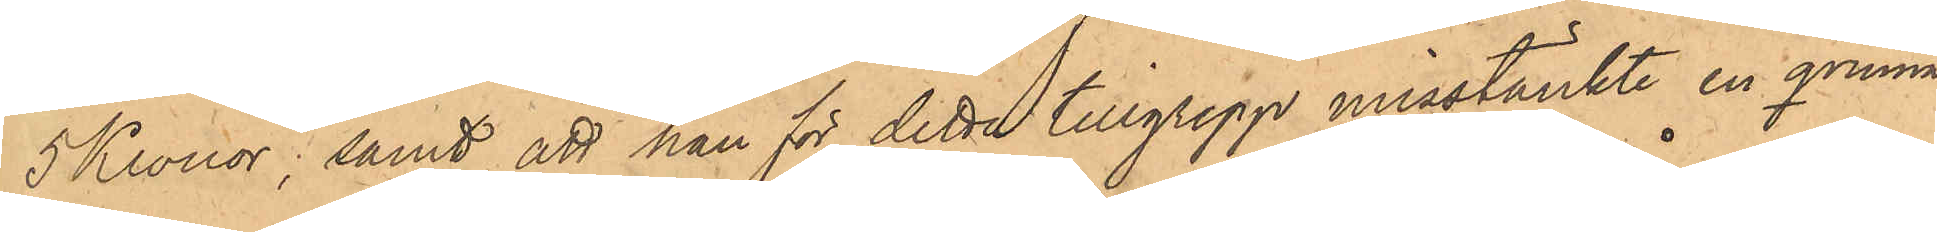5 Kronor; samt att han för detta tillgrepp misstänkte en qvinna
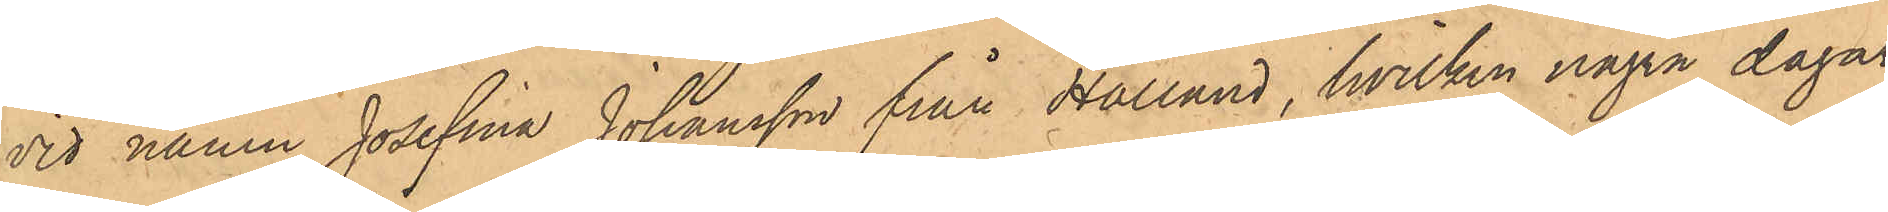vid namn Josefina Johansson från Halland, hvilken några dagar
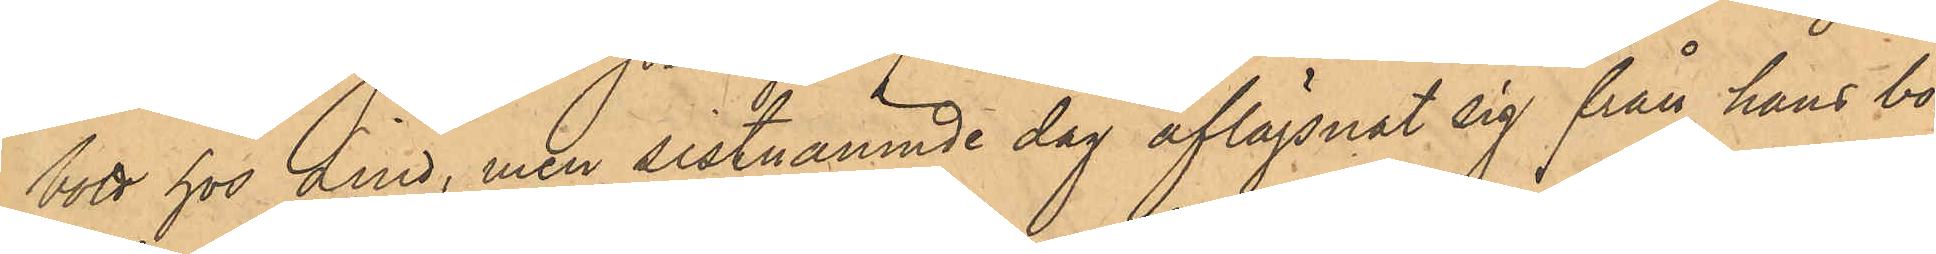bott hos Lind, men sistnämnde dag aflägsnat sig från hans bo¬
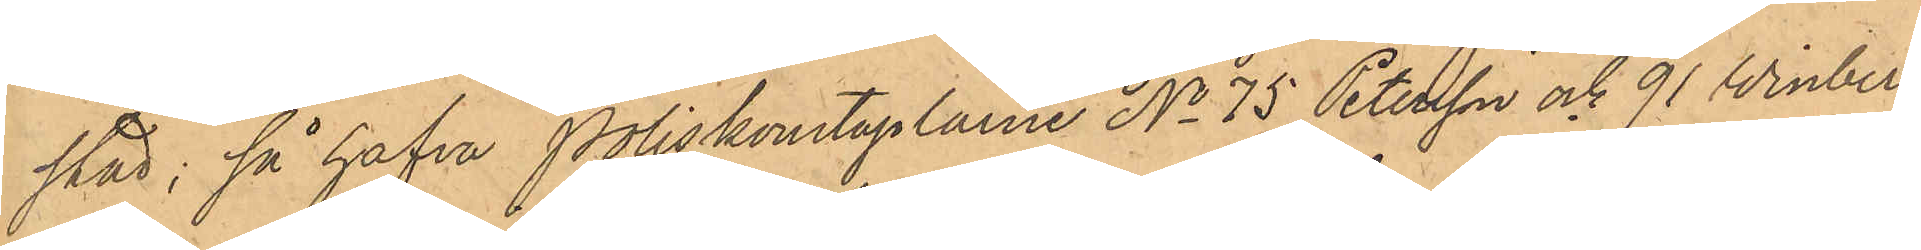stad; så hafva Poliskonstaplarne No 75 Petersson och 91 Winberg
